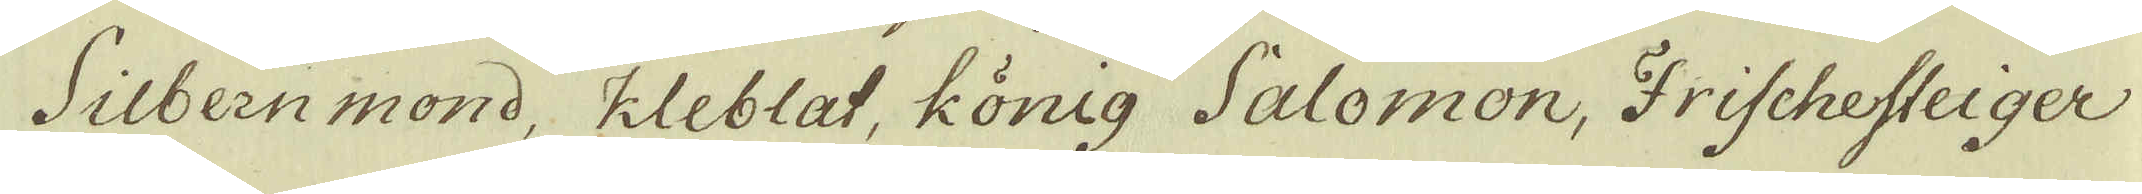Silbern mond, kleblat, könig Salomon, Frischesteiger
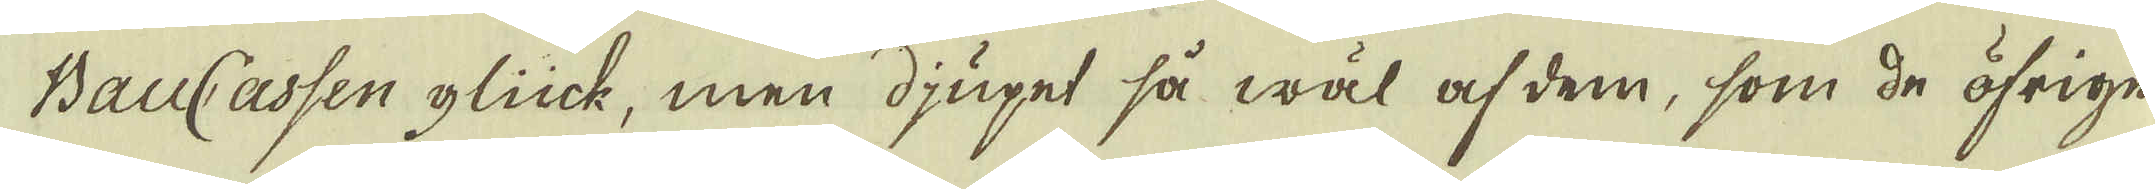BauCassen glück, men djupet så wäl af dem, som de öfrige
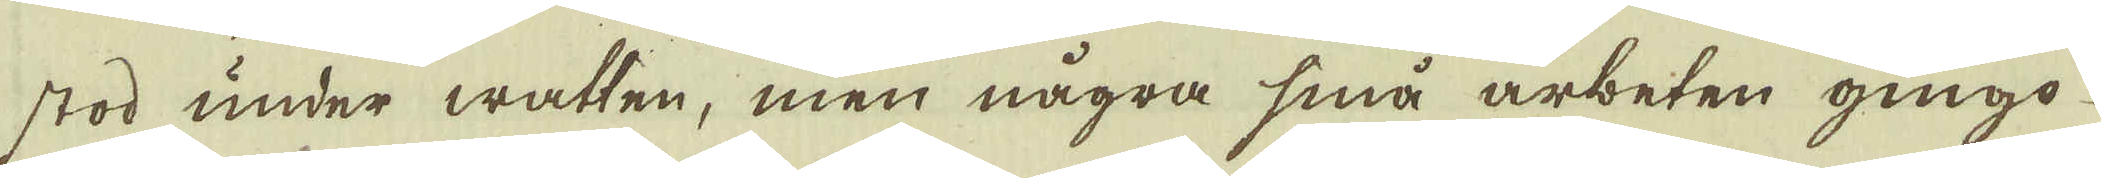stod under watten, men några små arbeten gingo
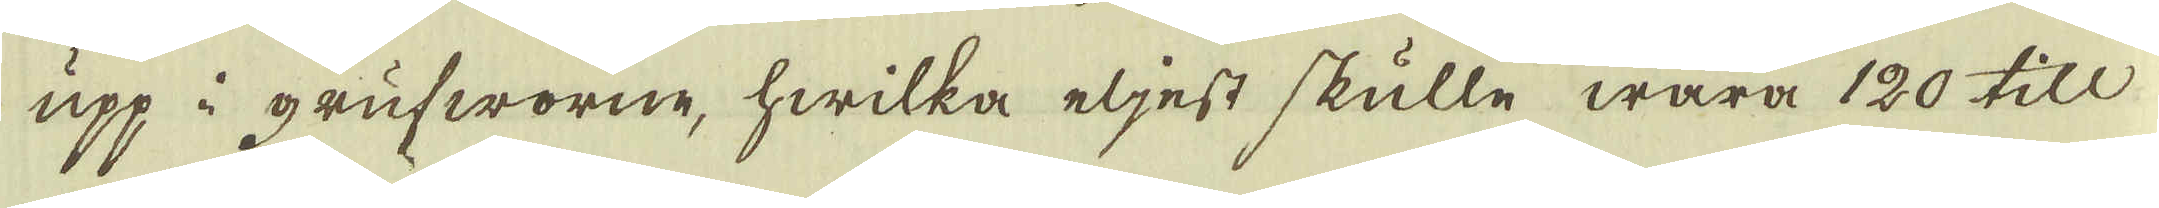upp i grufworne, hwilka eljest skulle wara 120 till
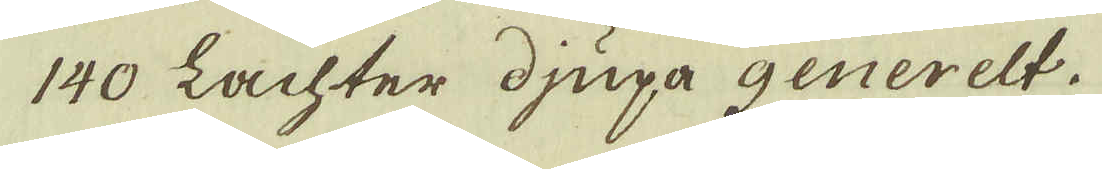140 Lachter djupa generelt.
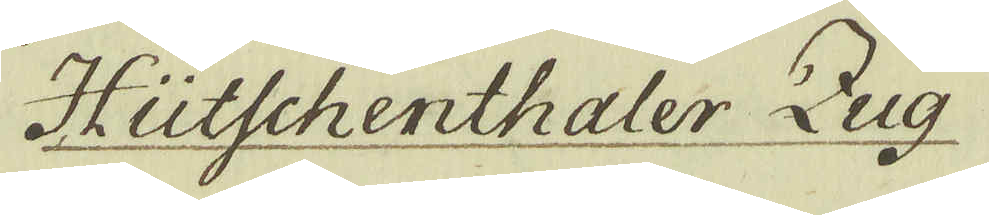Hütschenthaler Zug
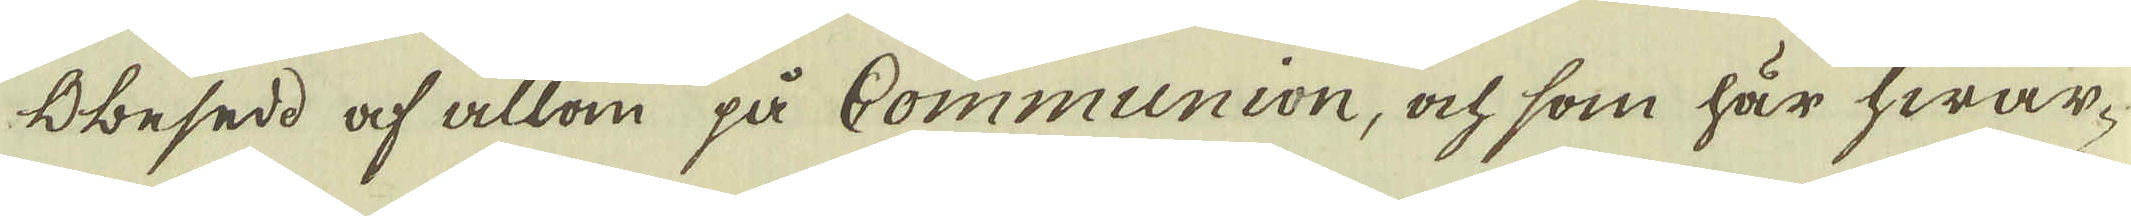Obesedd af allom på Communion, ock som här hwar-
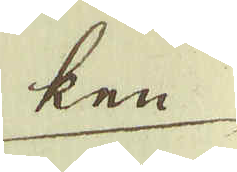ken
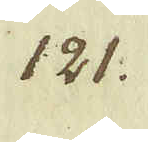121.
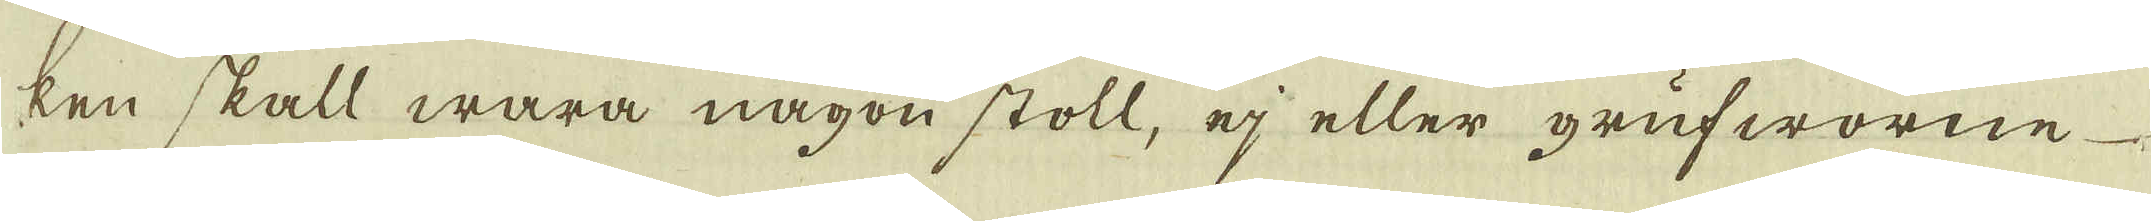ken skall wara någon stoll, ej eller grufworne
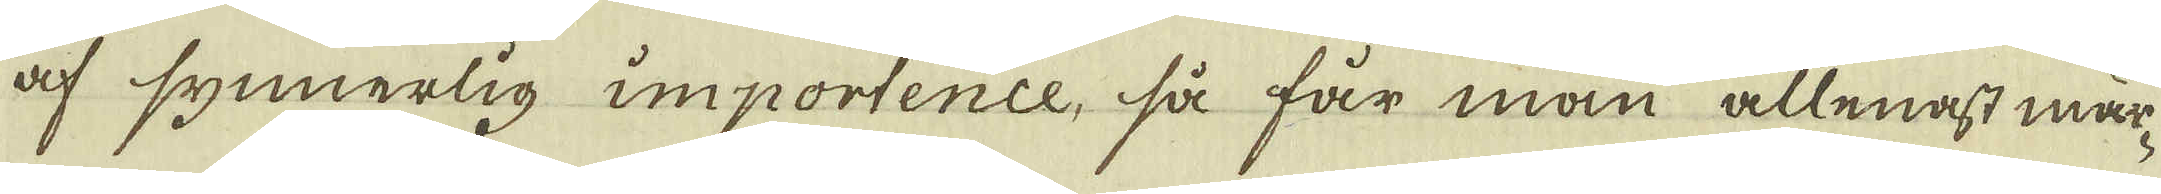af synnerlig importence, så får man allenast mär-
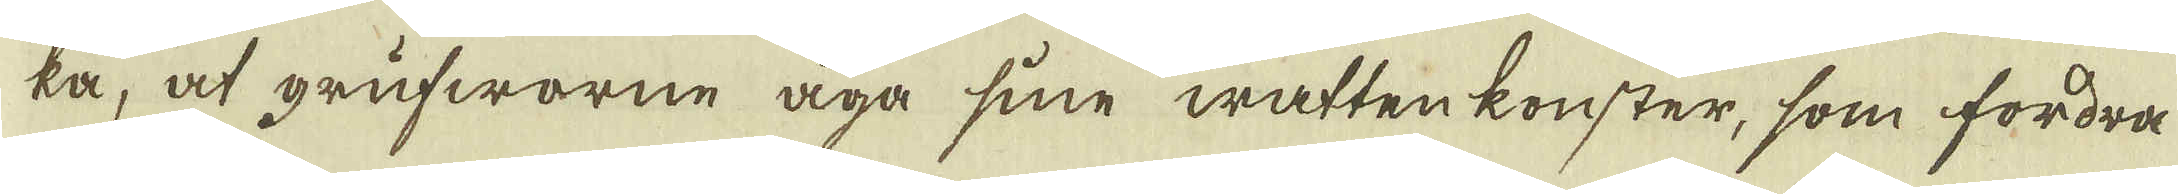ka, at grufworne äga sine watten konster, som fordra
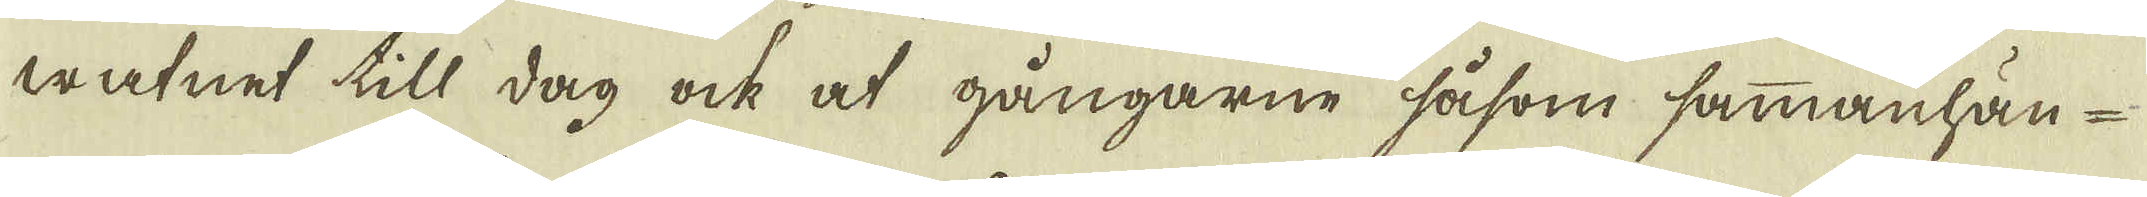watnet till dag ock at gångarne såsom sammanhän-
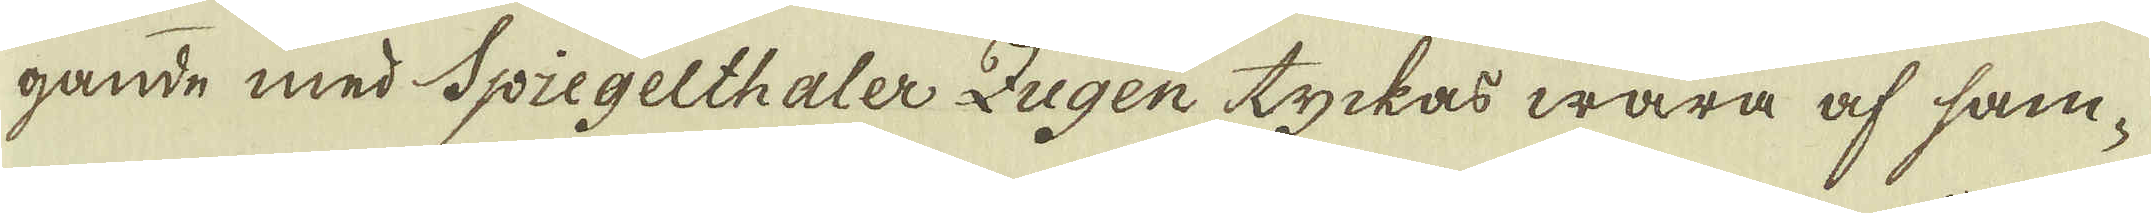gande med Spiegelthaler Zugen tyckas wara af sam-
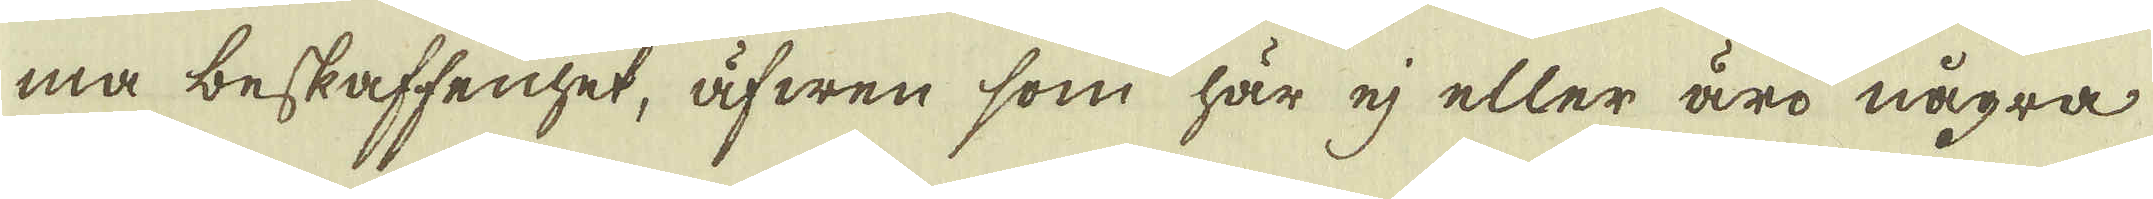ma beskaffenhet, äfwen som här ej eller äro några
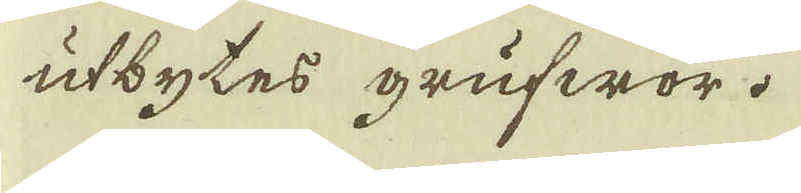utbytes grufwor.
